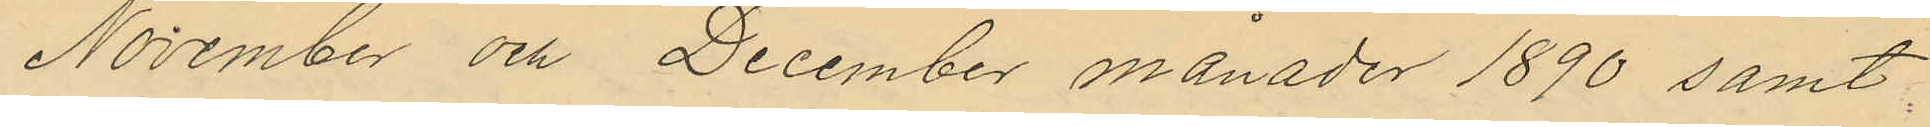November och December månader 1890 samt
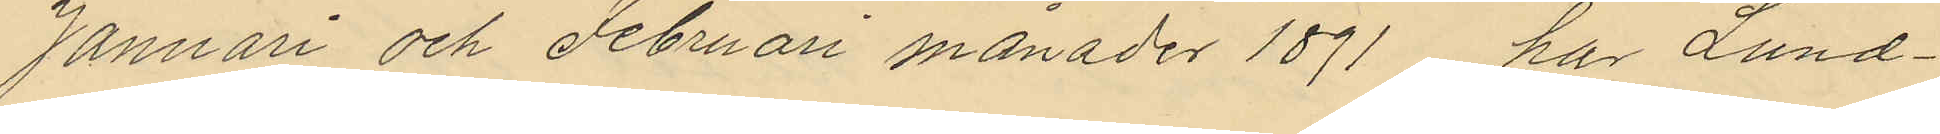Januari och Februari månader 1891 har Lund¬
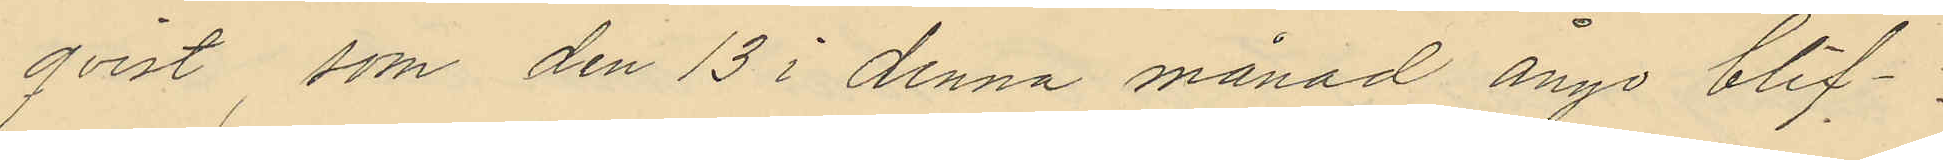qvist, som den 13 i denna månad ånyo blif¬
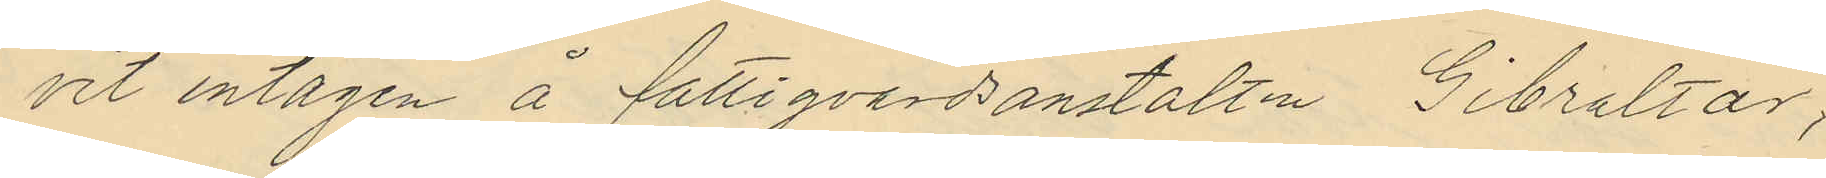vit intagen å fattigvårdsanstalten Gibraltar;
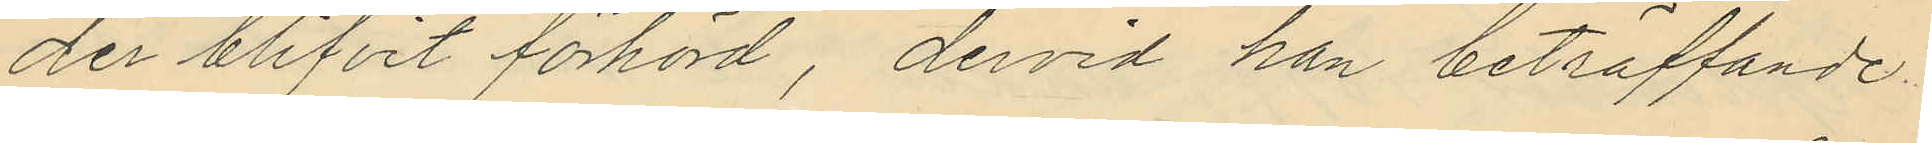der blifvit förhörd, dervid han beträffande
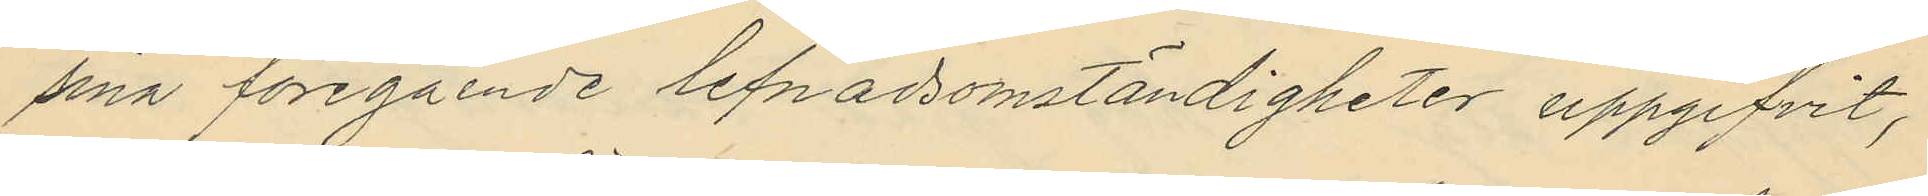sina föregående lefnadsomständigheter uppgifvit,
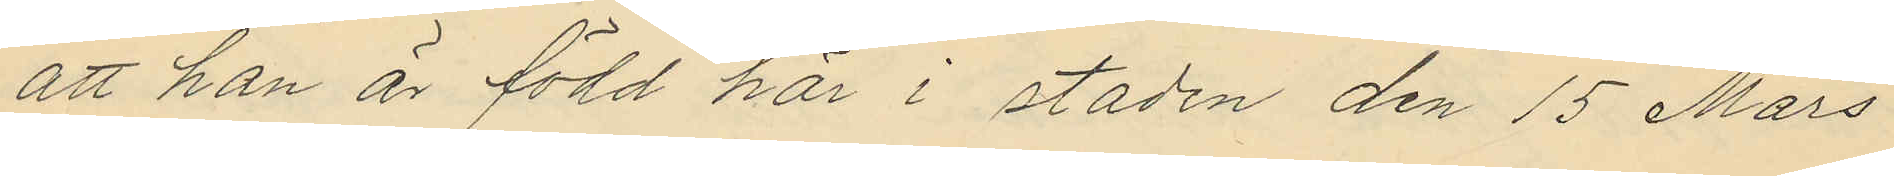att han är född här i staden den 15 Mars
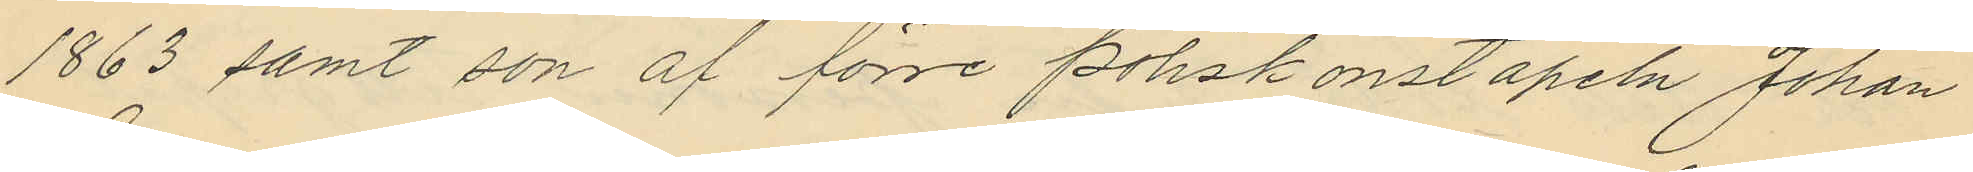1863 samt son af förre poliskonstapeln Johan
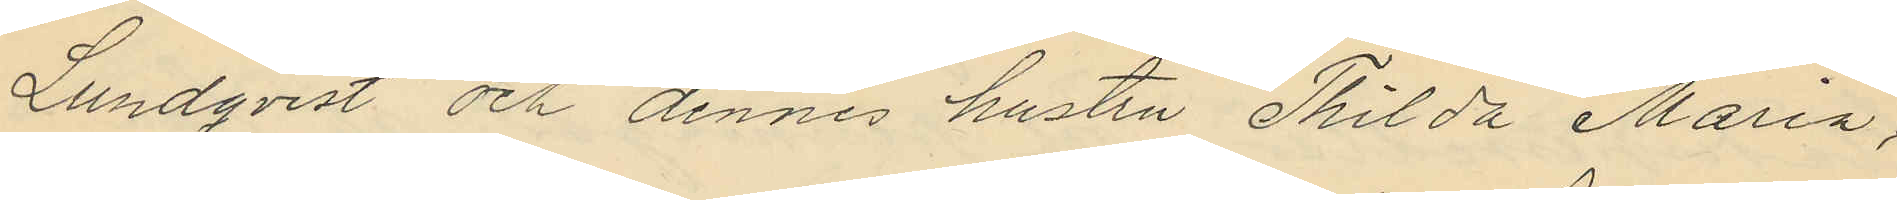Lundqvist och dennes hustru Thilda Maria,
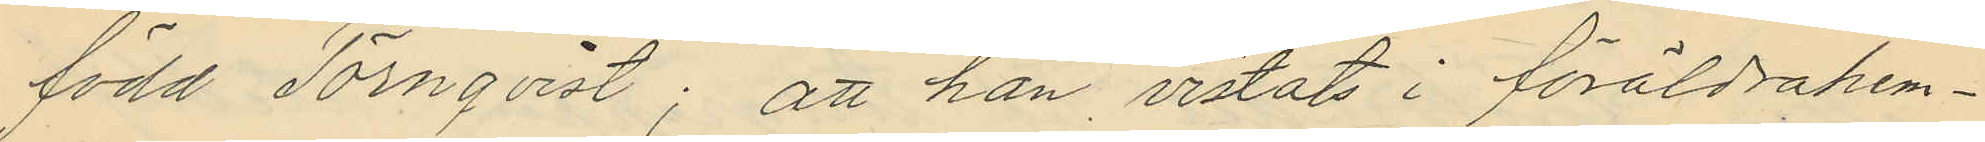född Törnqvist; att han vistats i föräldrahem¬
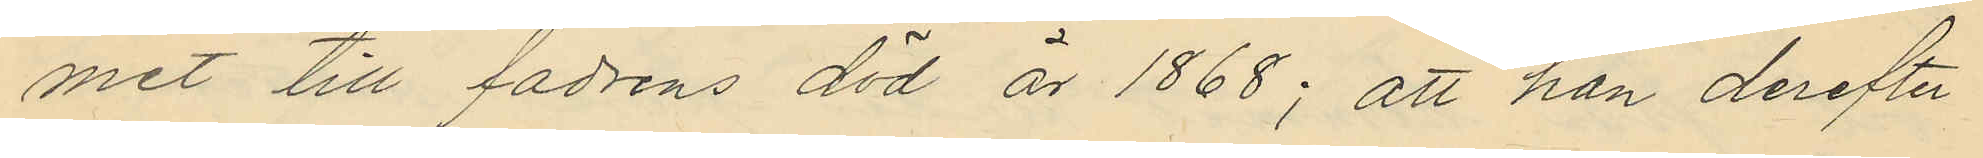met till fadrens död år 1868; att han derefter
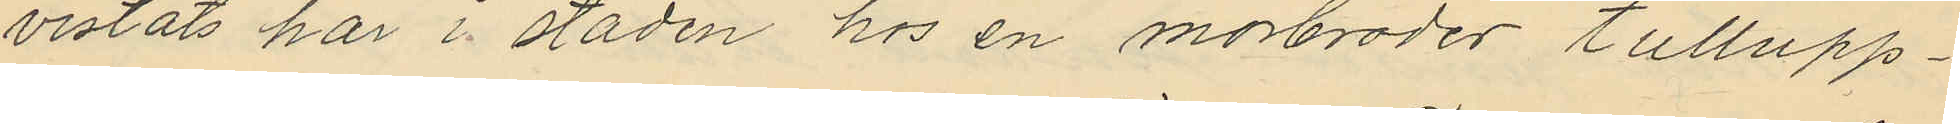vistats här i staden hos en morbroder tullupp¬
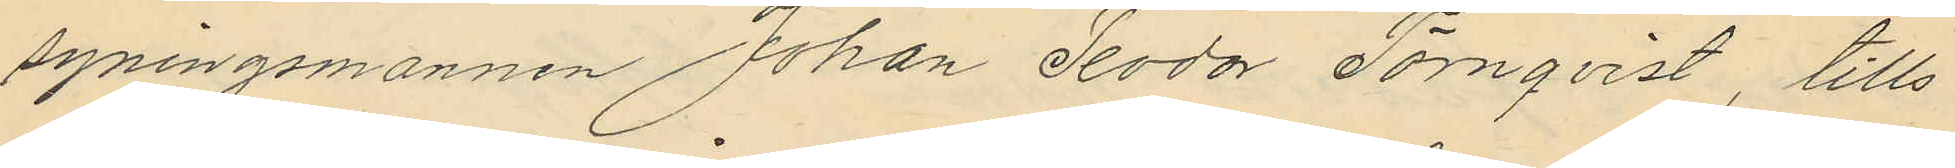syningsmannen Johan Teodor Törnqvist, tills
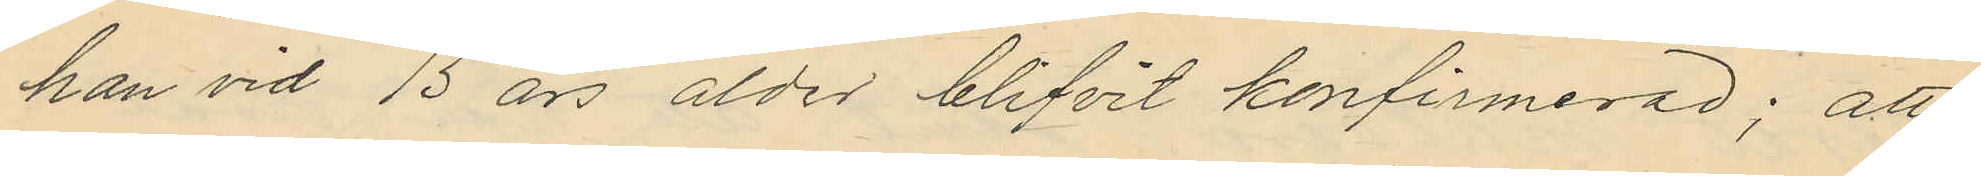han vid 15 års ålder blifvit konfirmerad; att
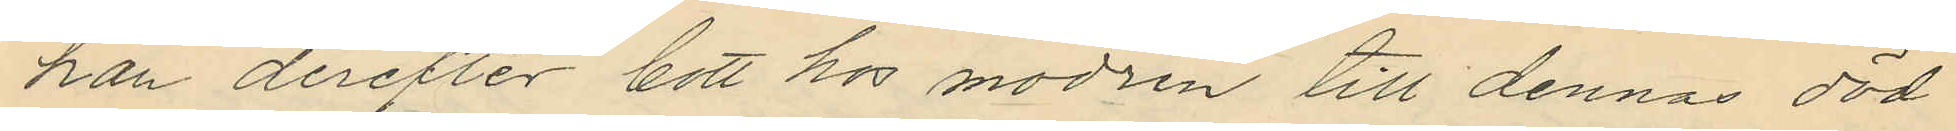han derefter bott hos modren till dennas död
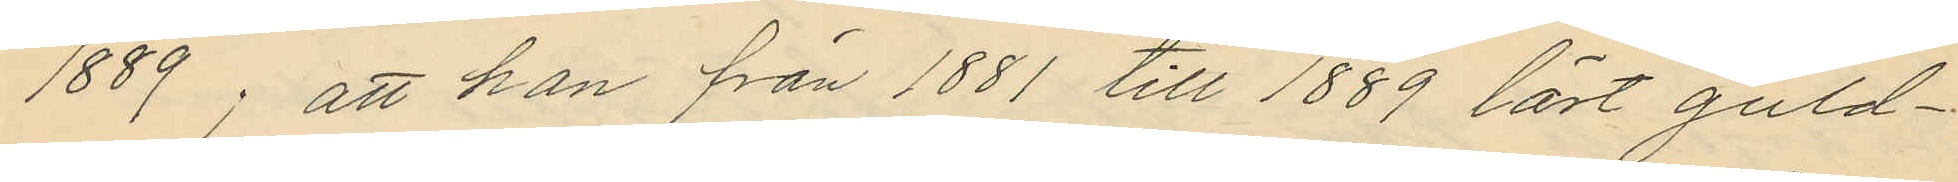1889; att han från 1881 till 1889 lärt guld¬
